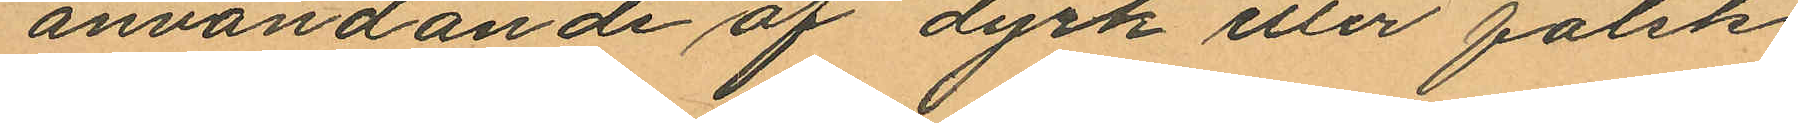användande af dyrk eller falsk
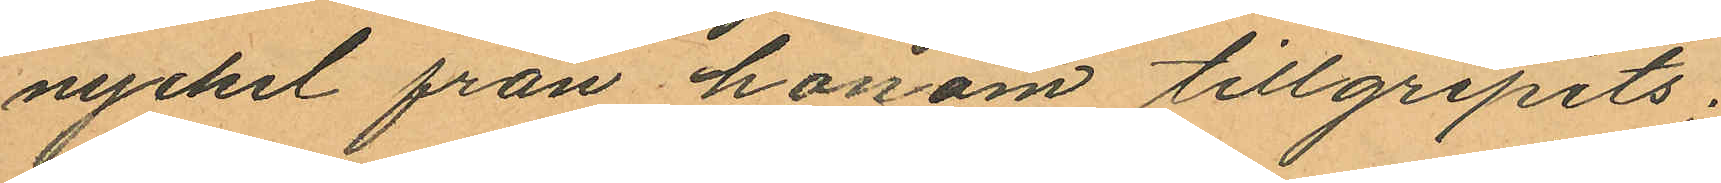nyckel från honom tillgripits;
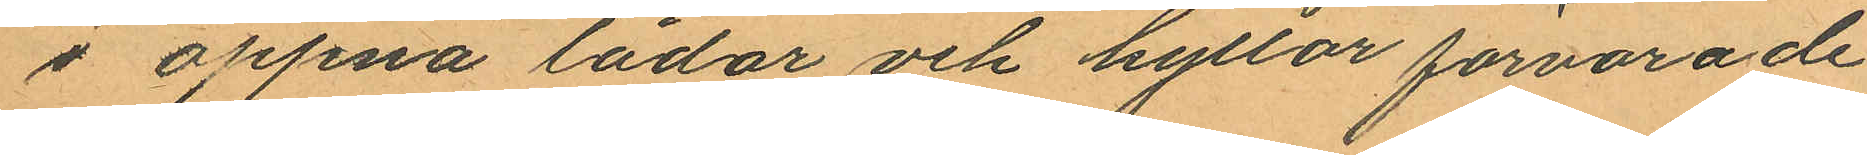i öppna lådor och hyllor förvarade
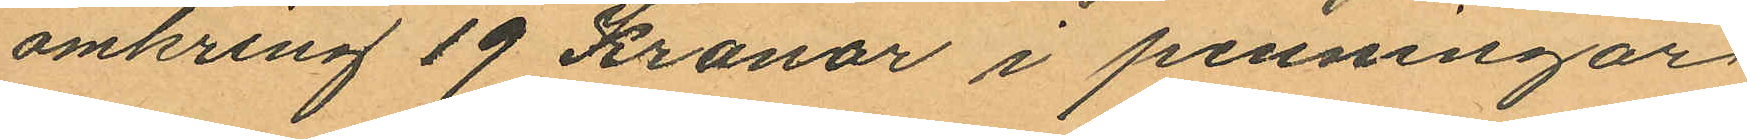omkring 19 Kronor i penningar
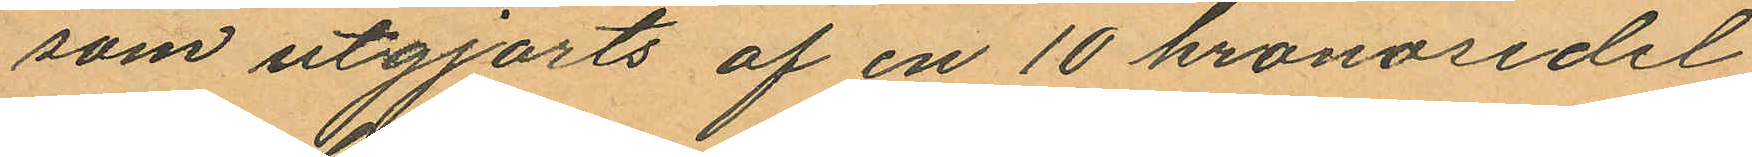som utgjorts af en 10 kronosedel,
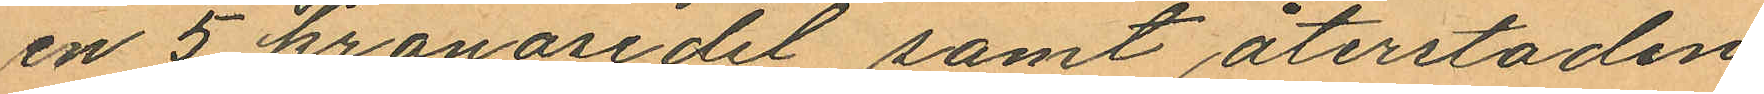en 5 kronosedel, samt återstoden
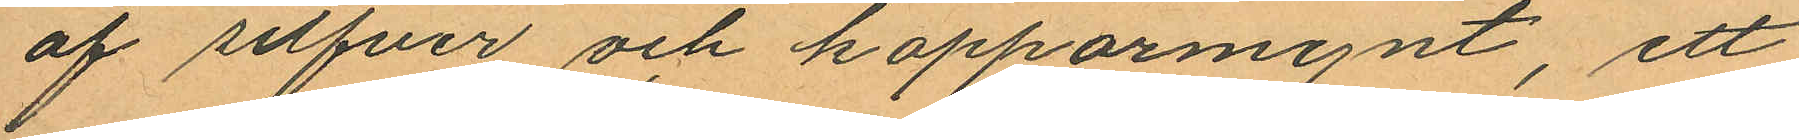af silfver och kopparmynt, ett
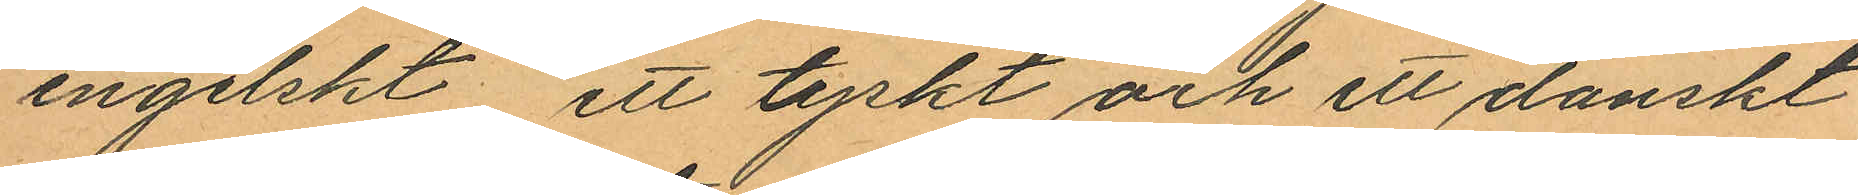engelskt ett tyskt och ett danskt
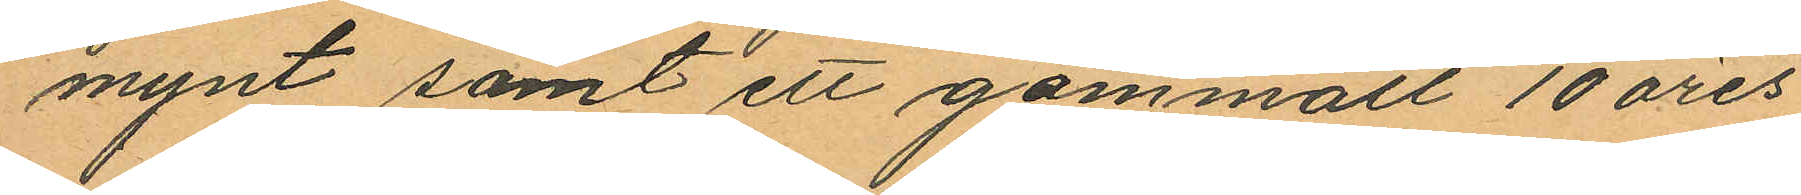mynt samt ett gammalt 10 öres
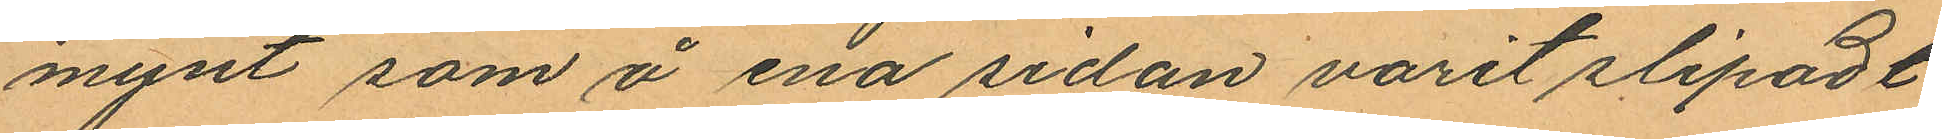mynt som å ena sedan varit slipadt
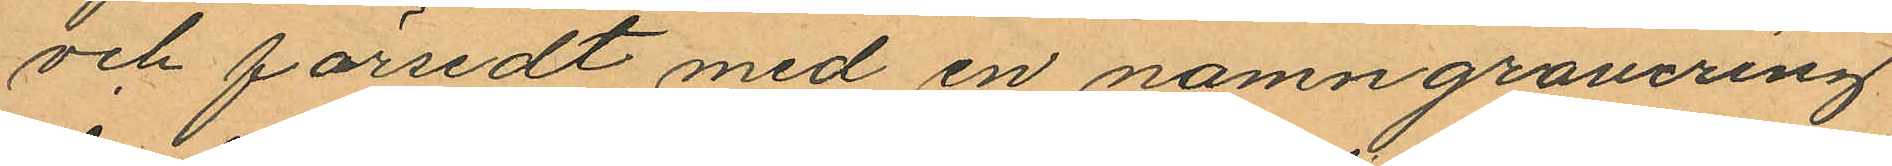och försedt med en namngravering
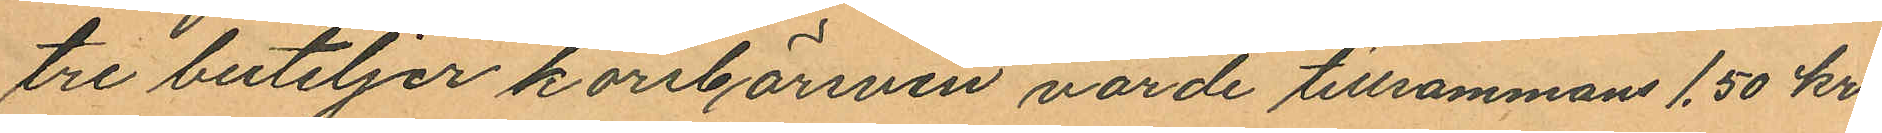tre buteljer körsbärsvin värde tillsammans 1.50 kr.
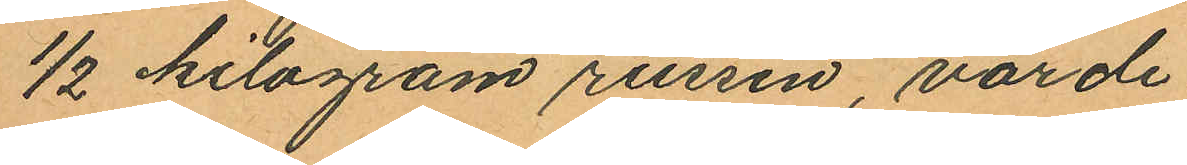1/2 kilogram russin, värde
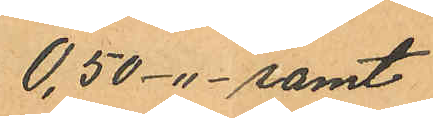0,50 -"- samt
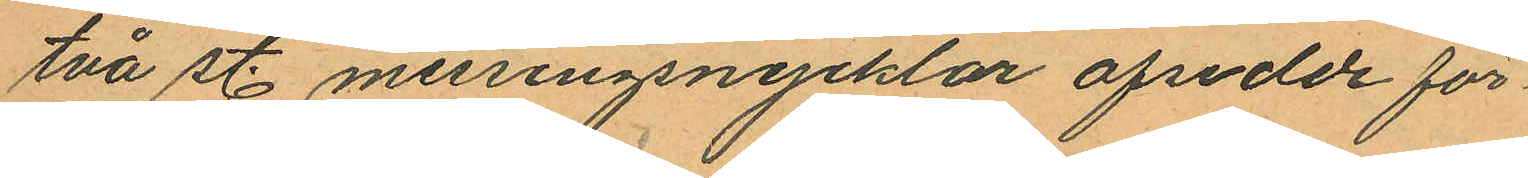två st. messingsnycklar afsedde för
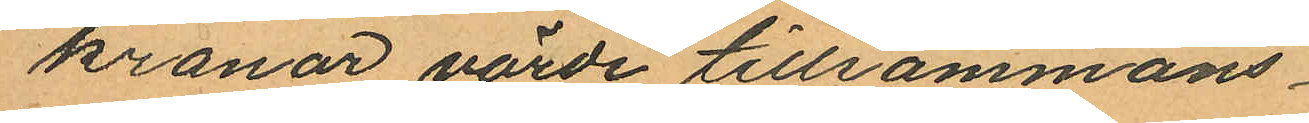kronor värde tillsammans
